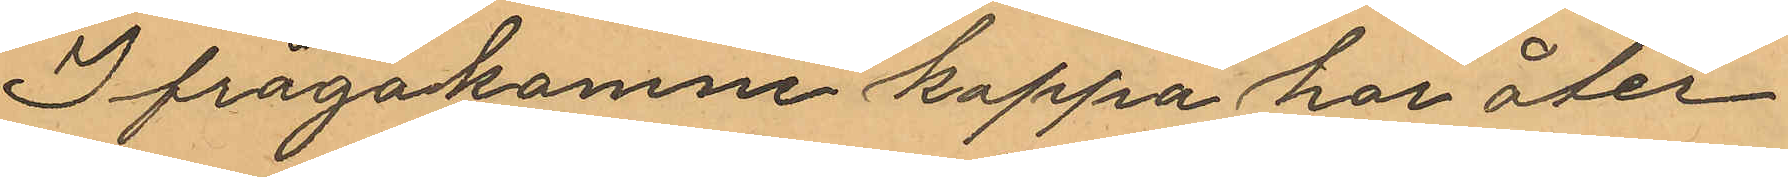Ifrågakomne kappa har åter¬
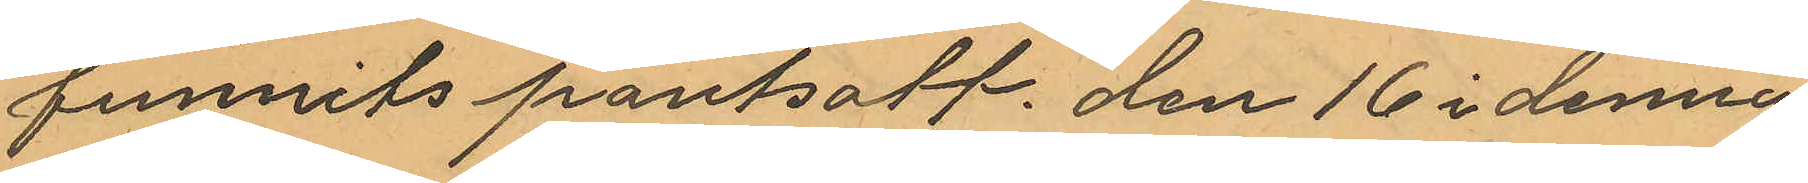funnits pantsatt den 16 i denna
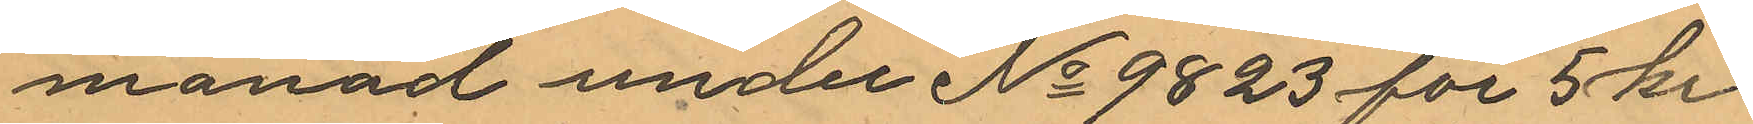månad under No 9823 för 5 kr.
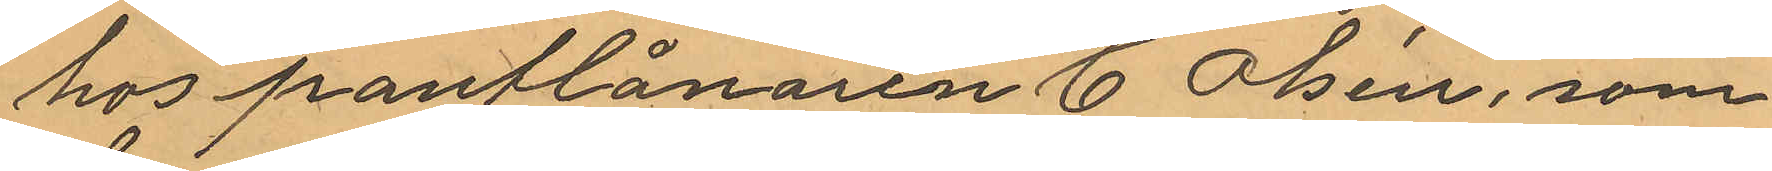hos pantlånaren C Olsén, som
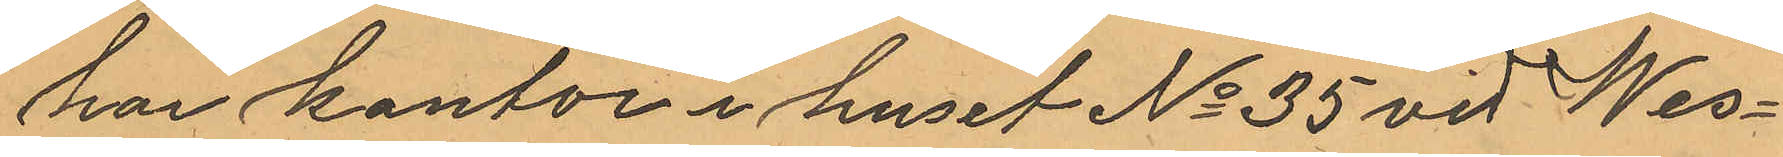har kontor i huset No 35 vid Wes¬
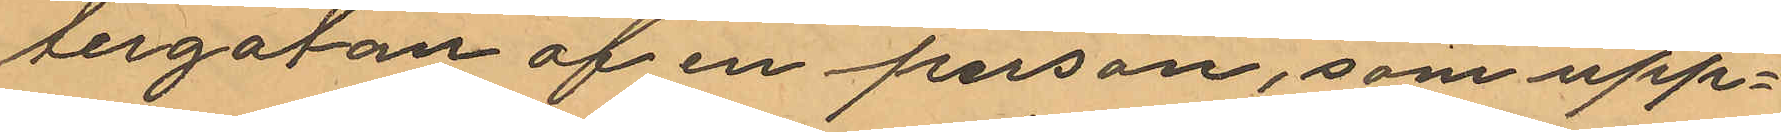tergatan af en person, som upp¬
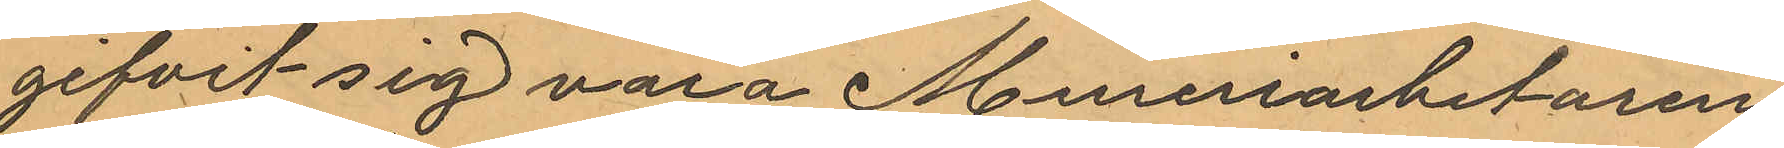gifvit sig vara Mureriarbetaren
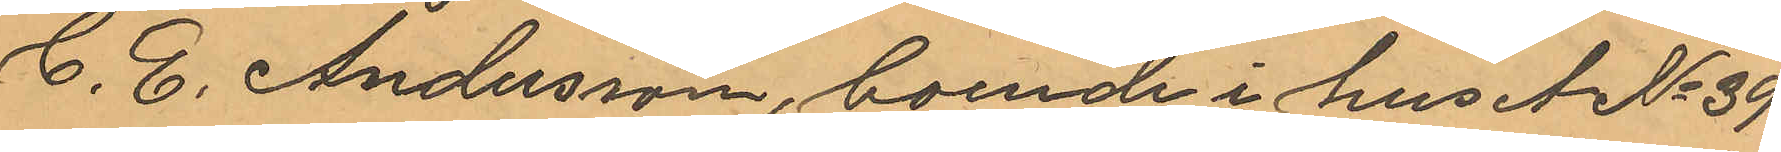C. E. Andersson, boende i huset No 39
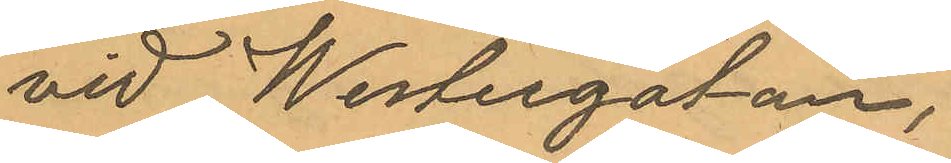vid Westergatan.
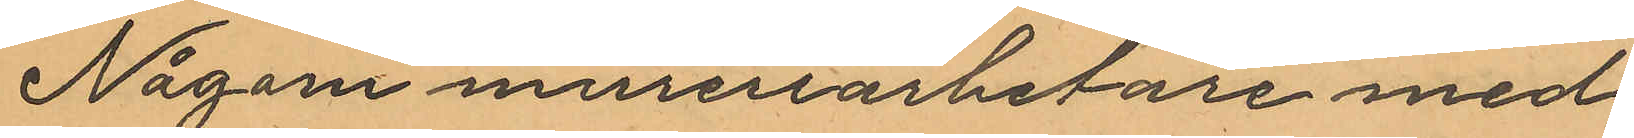Någon mureriarbetare med
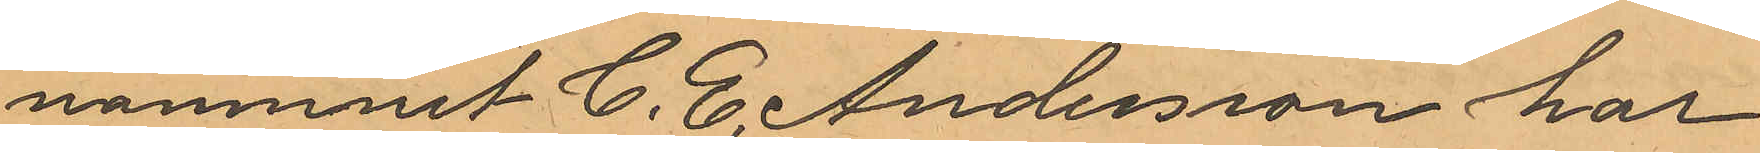namnnet C. E. Andersson har
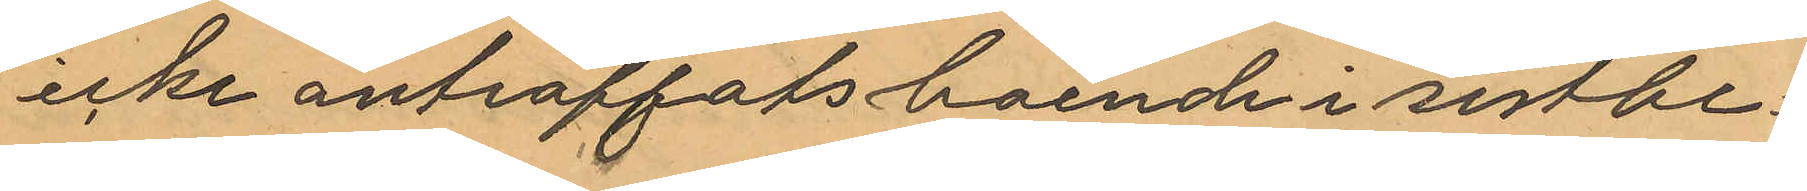icke anträffats boende i sistbe¬
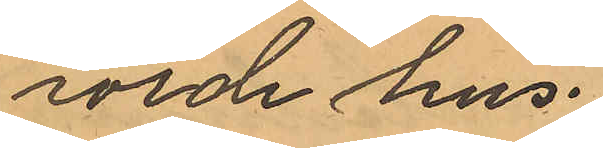rörde hus.
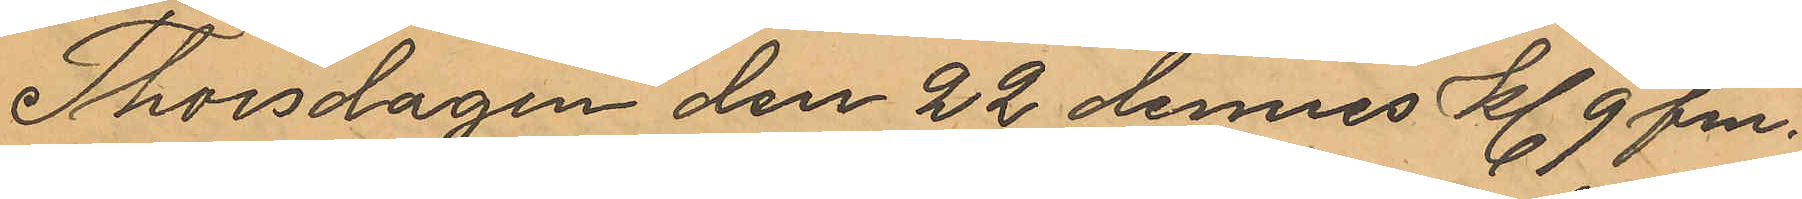Thorsdagen den 22 dennes kl 9 fm.
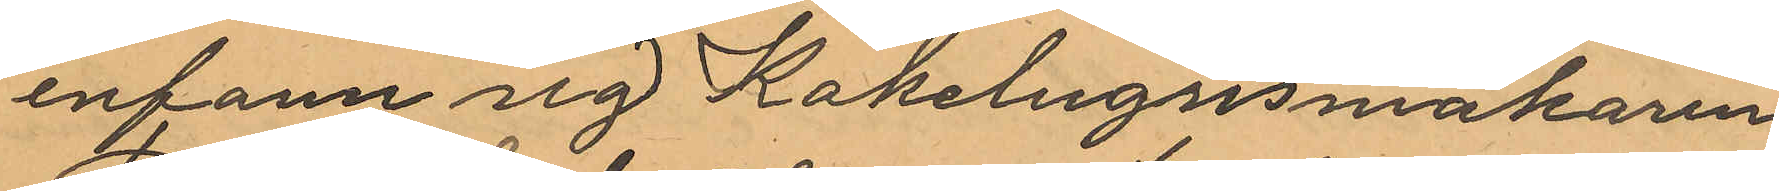infann sig Kakelugnsmakaren
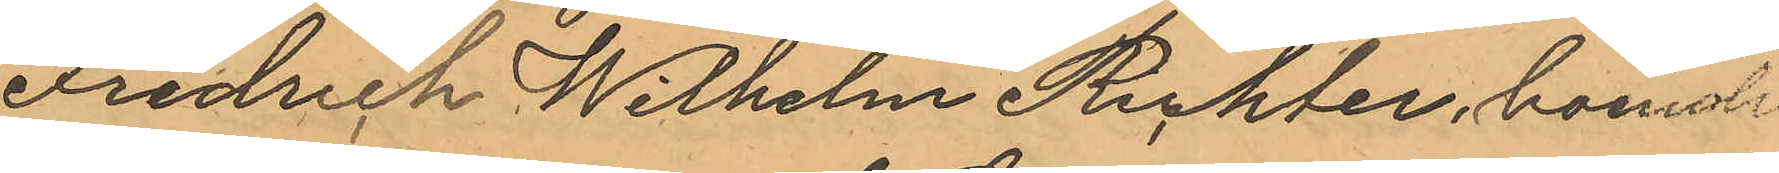Fredrich Wilhelm Richter, boende
